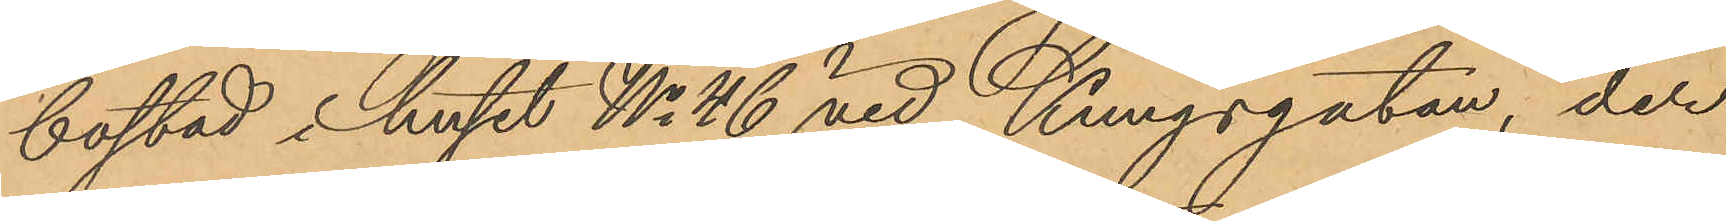bostad i huset No 46 vid Kungsgatan, der
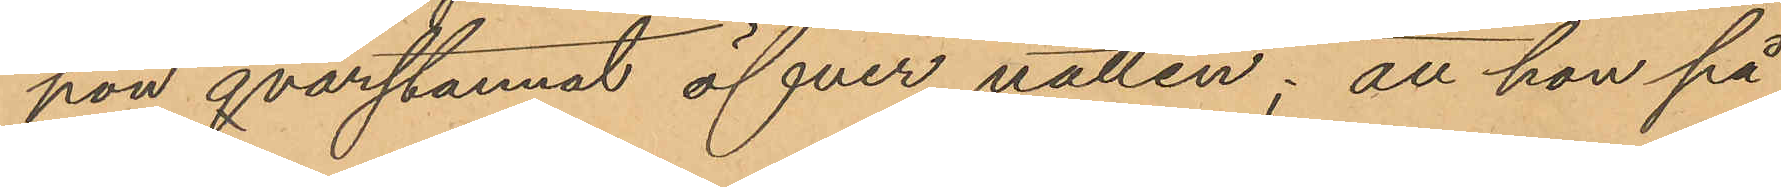hon qvarstannat öfver natten; att hon på
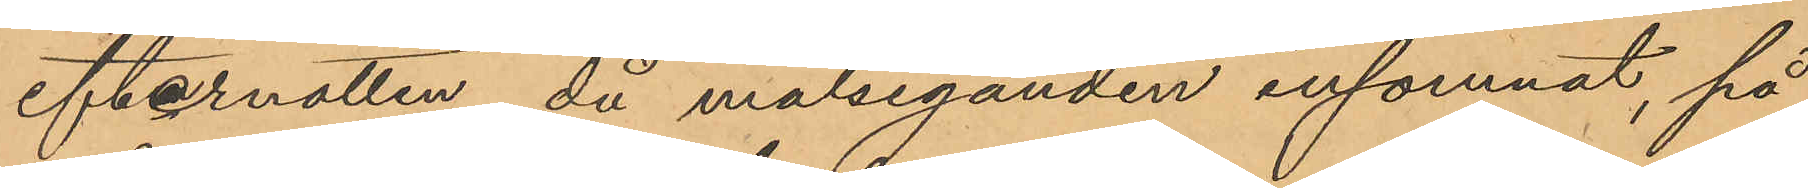efternatten, då målseganden insomnat, på
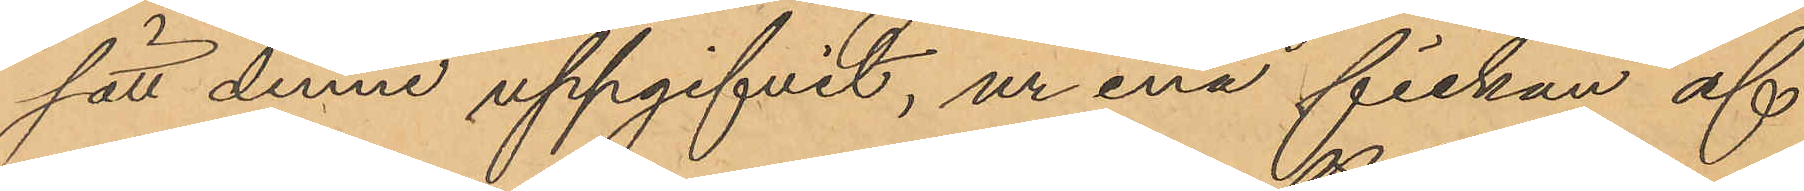sätt denne uppgifvit, ur ena fickan af
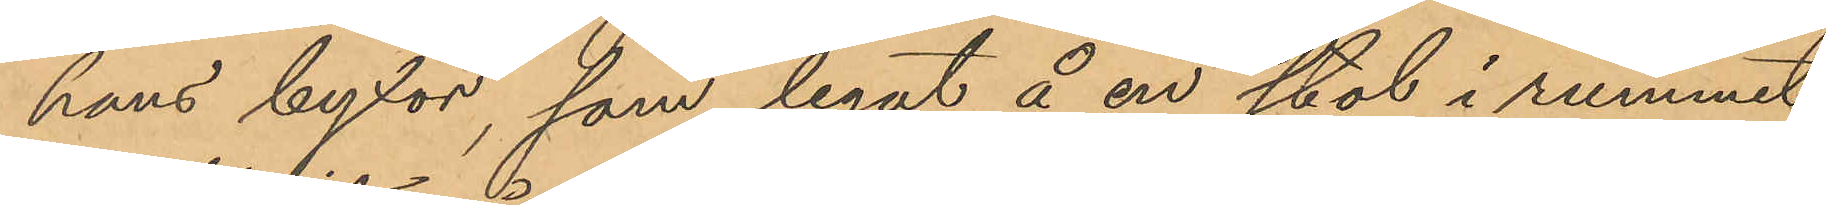hans byxor, som legat å en stol i rummet,
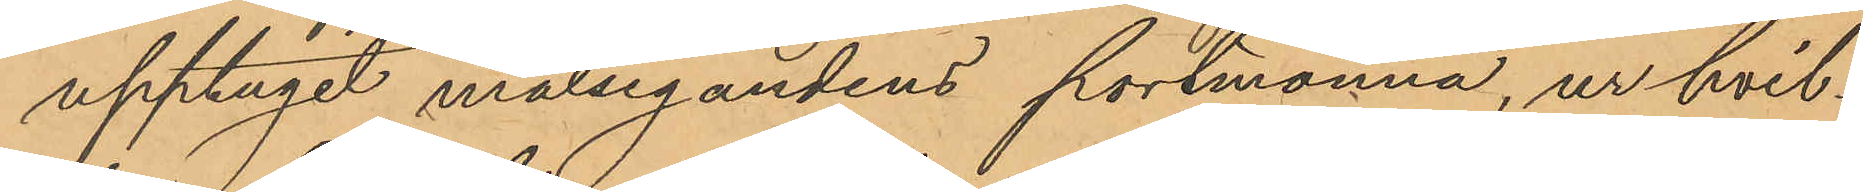upptagit målsegandens portmonnä, ur hvil¬
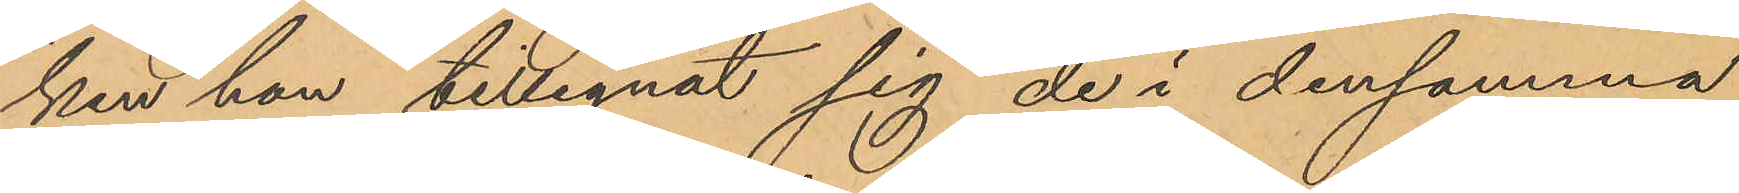ken hon tillegnat sig de i densamma
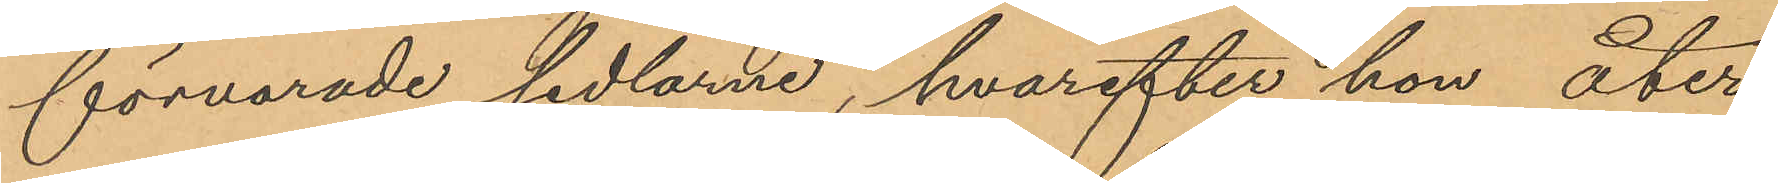förvarade sedlarne, hvarefter hon åter
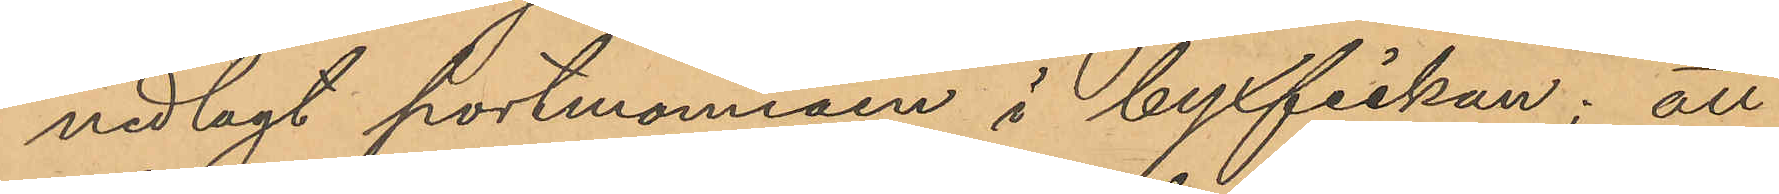nedlagt portmonnäen i byxfickan; att
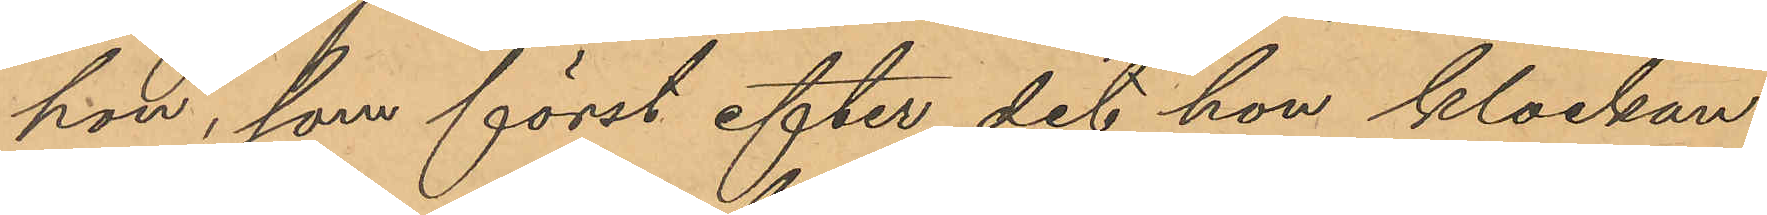hon, som först efter det hon klockan
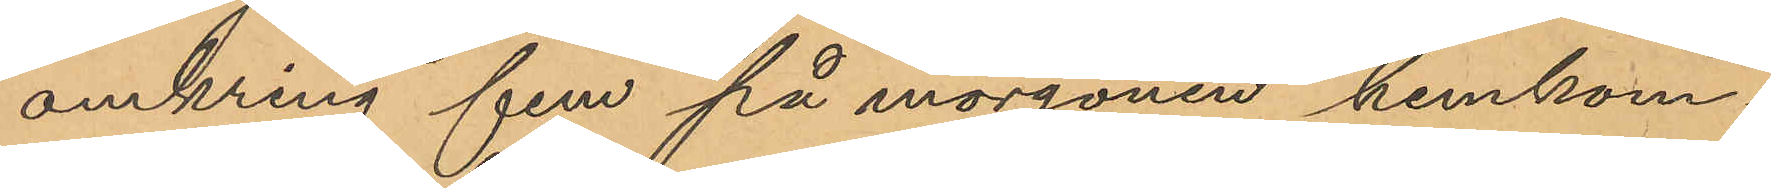omkring fem på morgonen hemkom¬
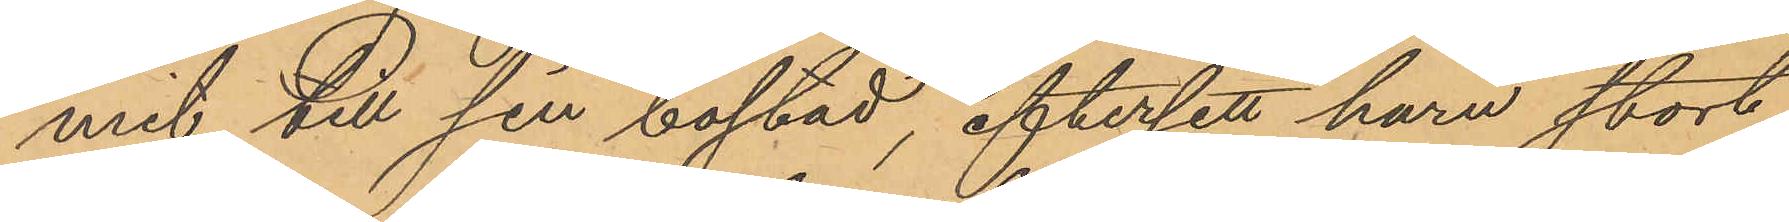mit till sin bostad, eftersett huru stort
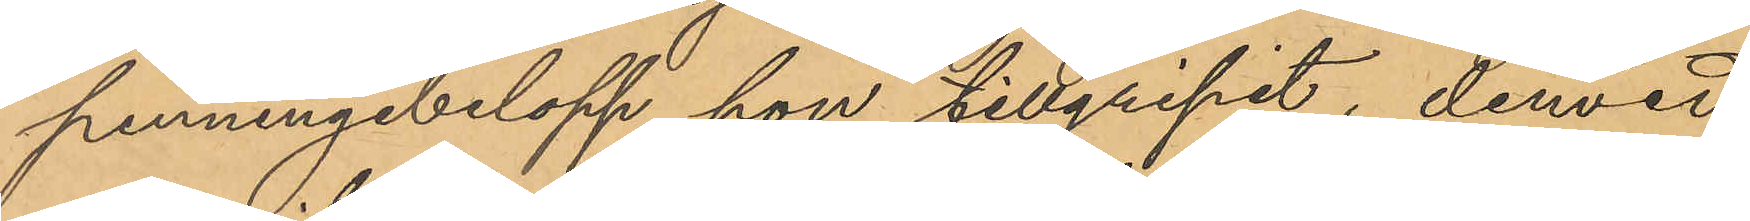penningbelopp hon tillgripit, dervid
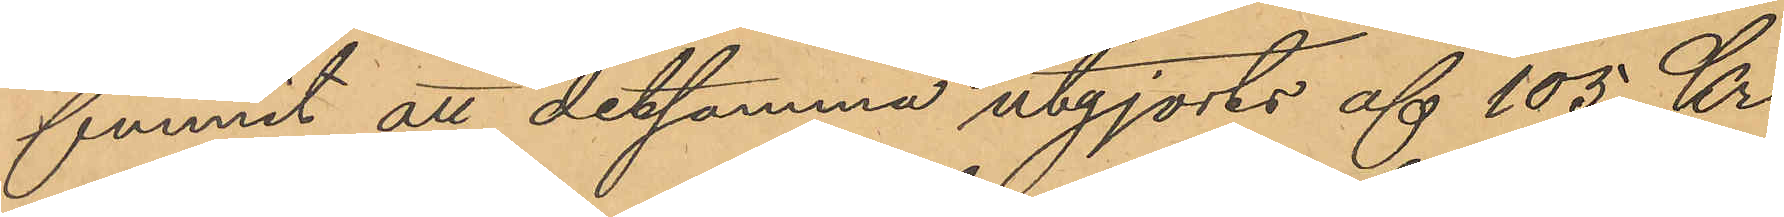funnit att detsamma utgjorts af 105 Kr;
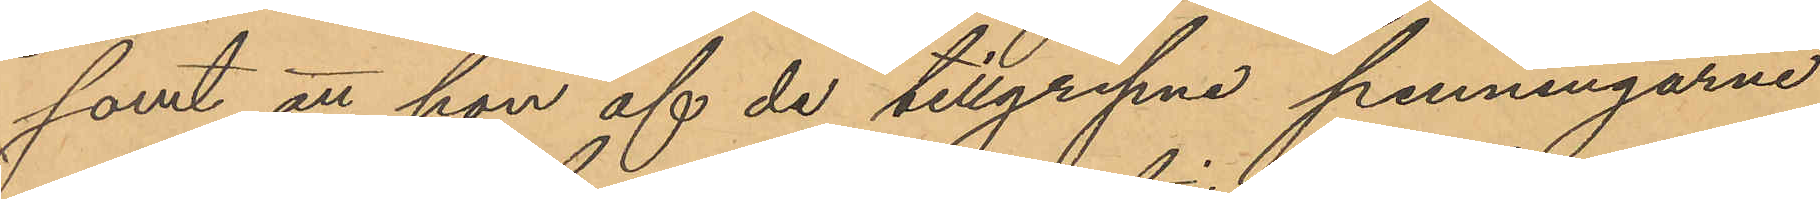samt att hon af de tillgripne penningarne
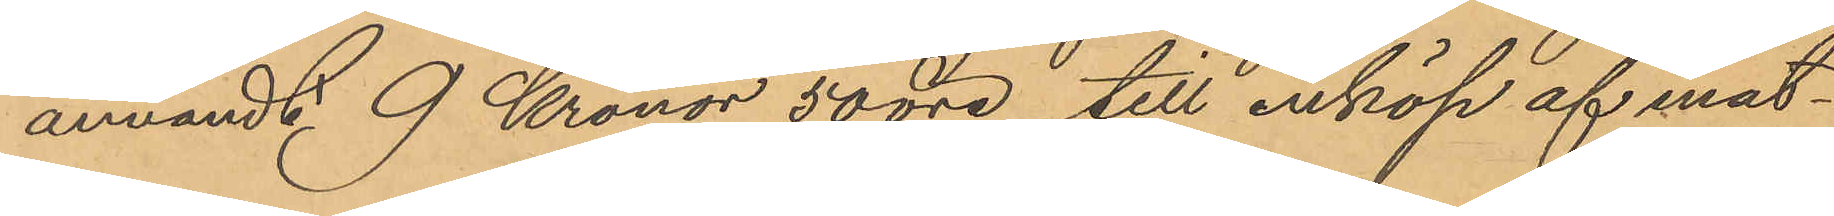användt 9 Kronor 50 öre till inköp af mat¬
